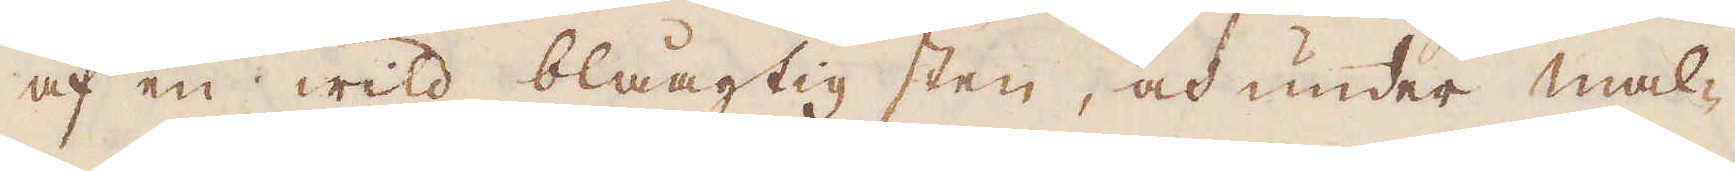af en wild blåagtig sten, och under mal-
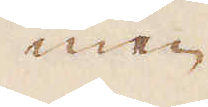men
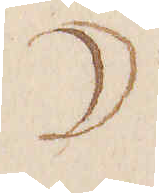☽
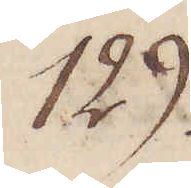129.
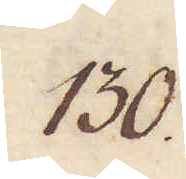130.
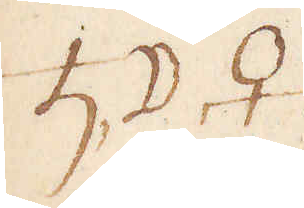♄ ☽ ♀
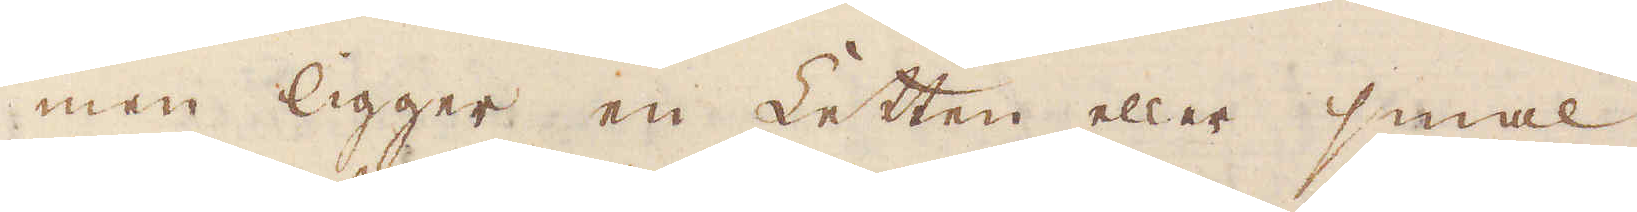men ligger en Ketten eller smal,
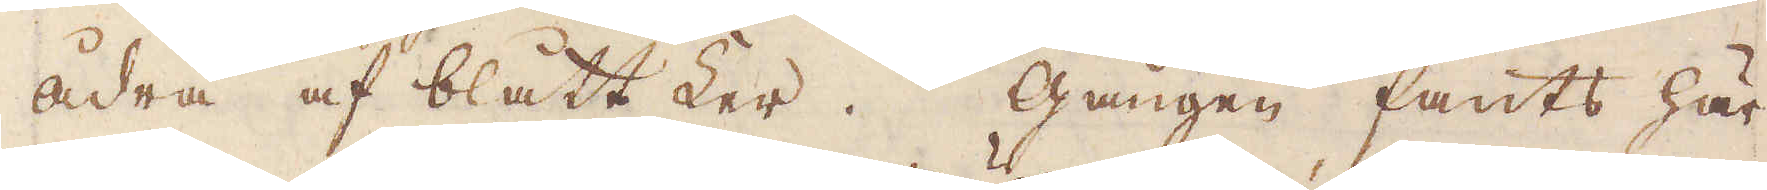ådra af blått ker. Gången fants här
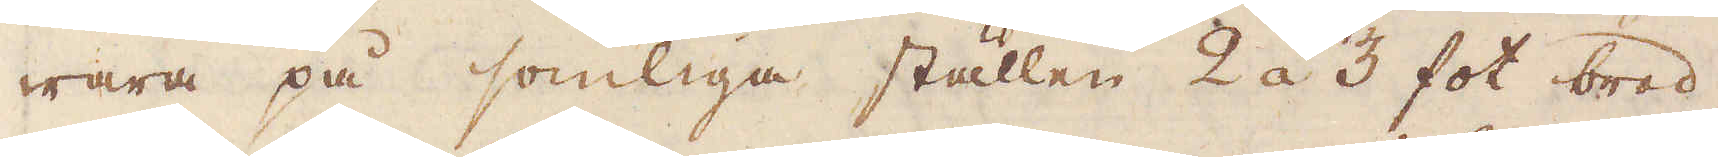wara på somliga ställen 2 á 3 fot bred.
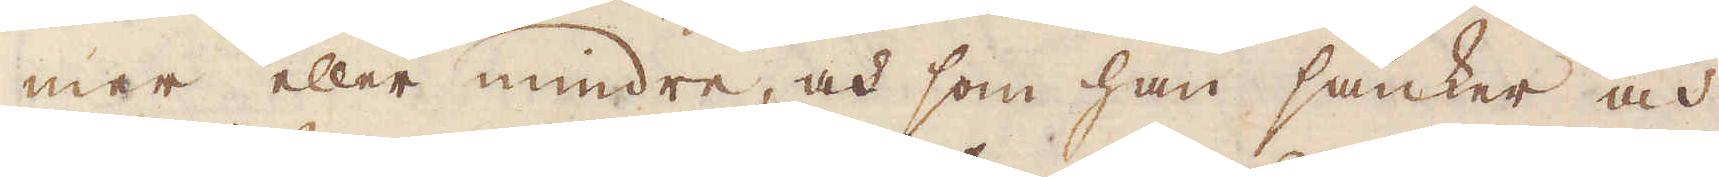mer eller mindre, och som han sänker och
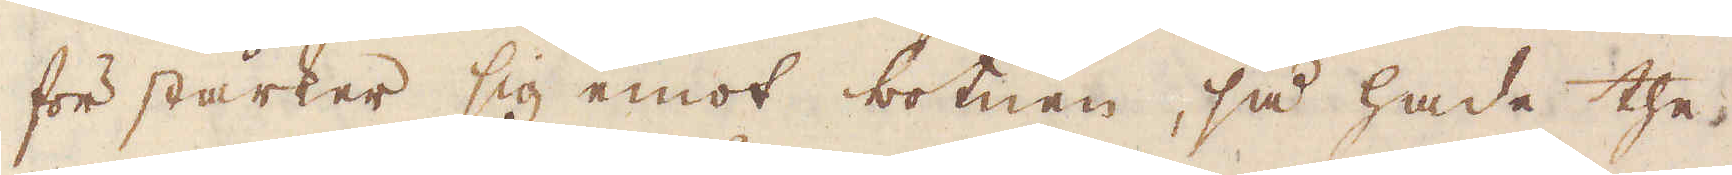för stärker sig emot botnen, så hade the
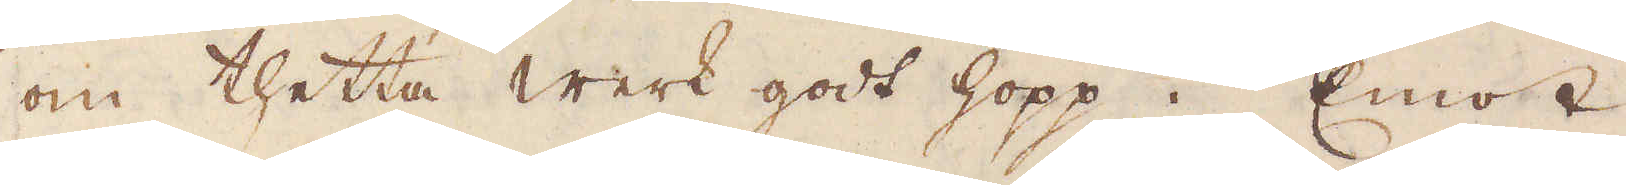om thetta werk godt hopp. Emot
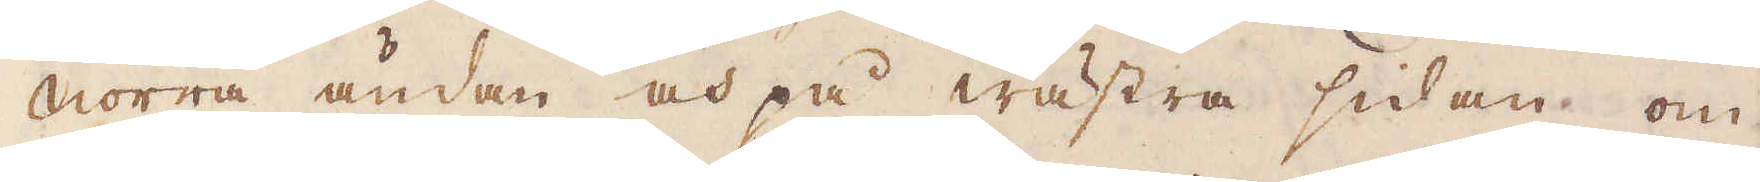norra ändan och på wästra sidan om
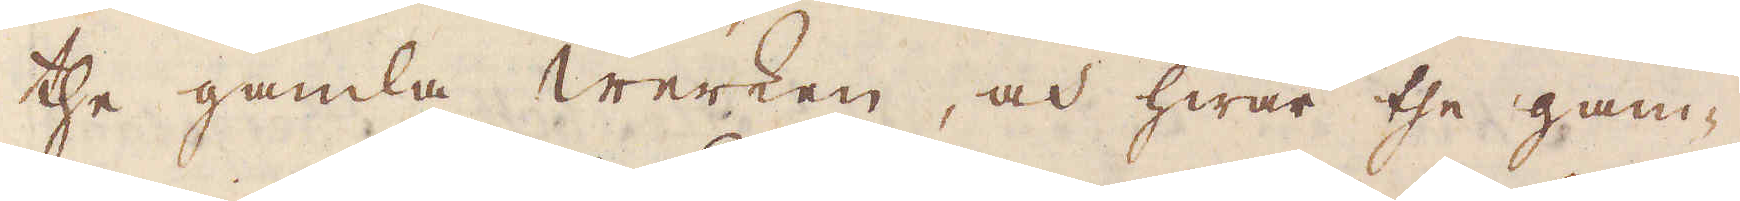the gamla Werken, och hwar the gam-
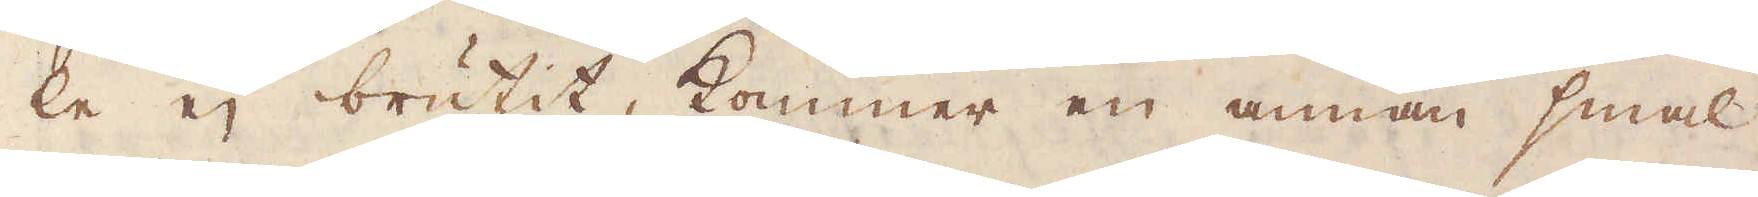le ej brutit, kommer en annan smal
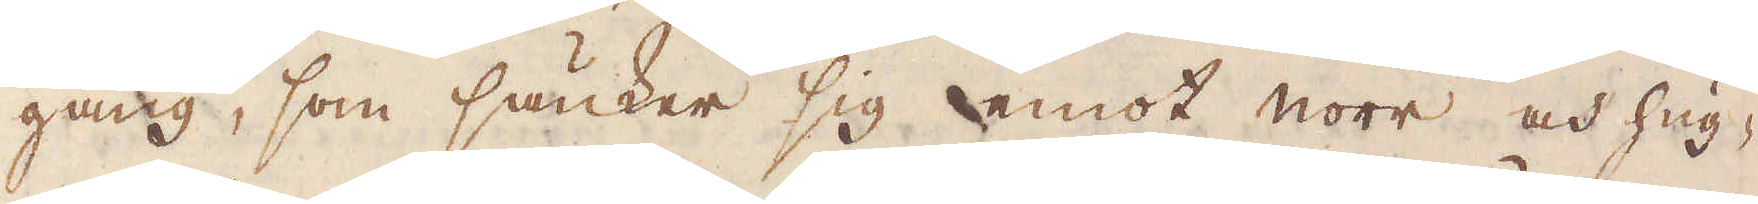gång, som sänker sig emot norr och hug-
